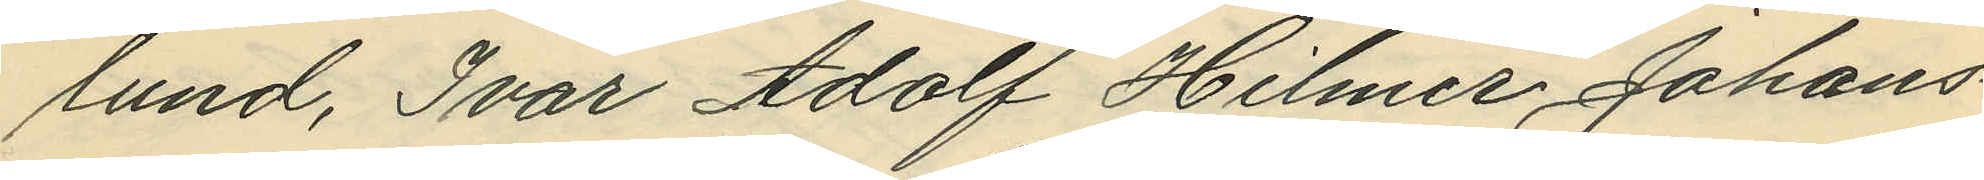lund, Ivar Adolf Hilmer Johans¬
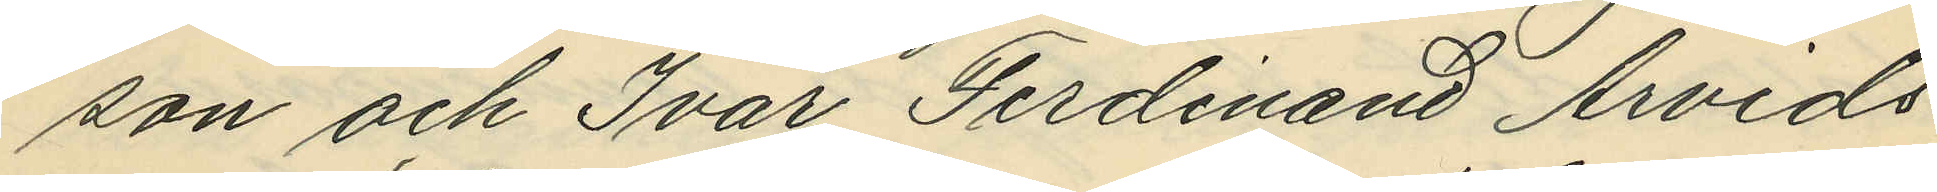son och Ivar Ferdinand Arvids¬
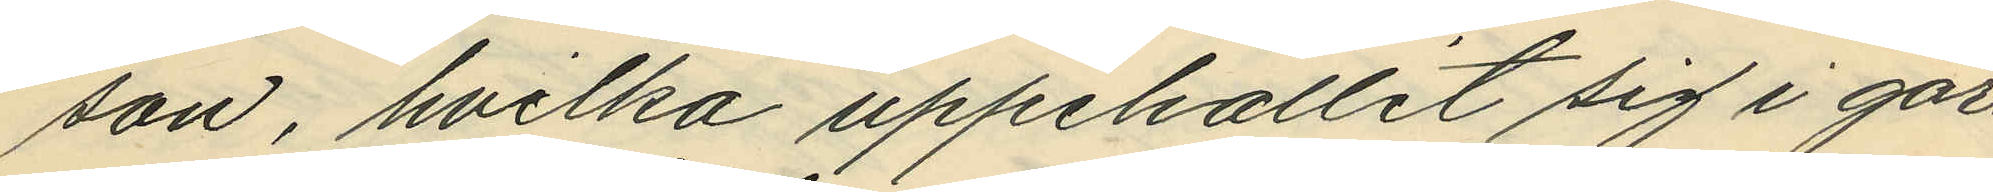son, hvilka uppehållit sig i går¬
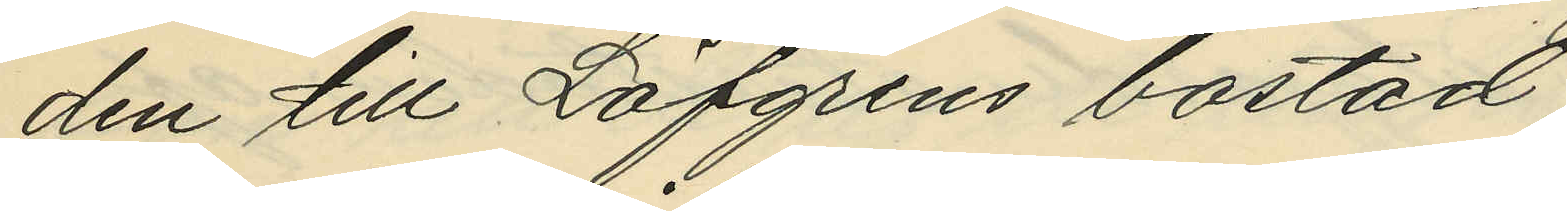den till Löfgrens bostad;
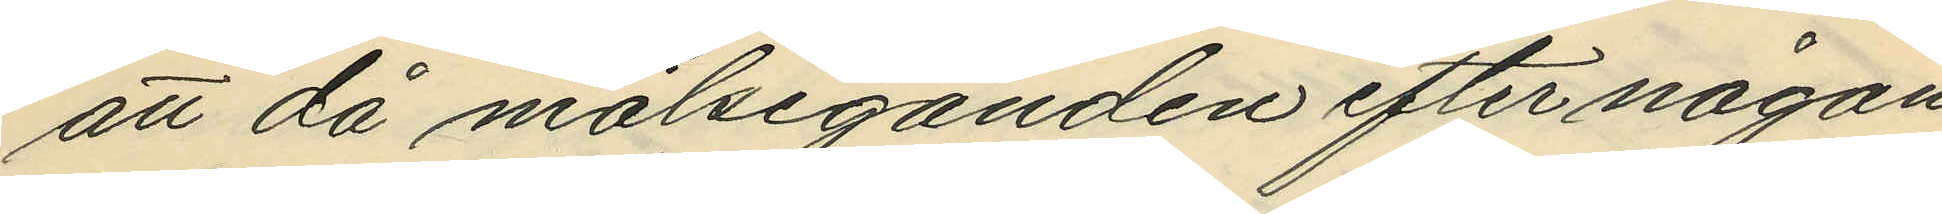att då målseganden efter någon
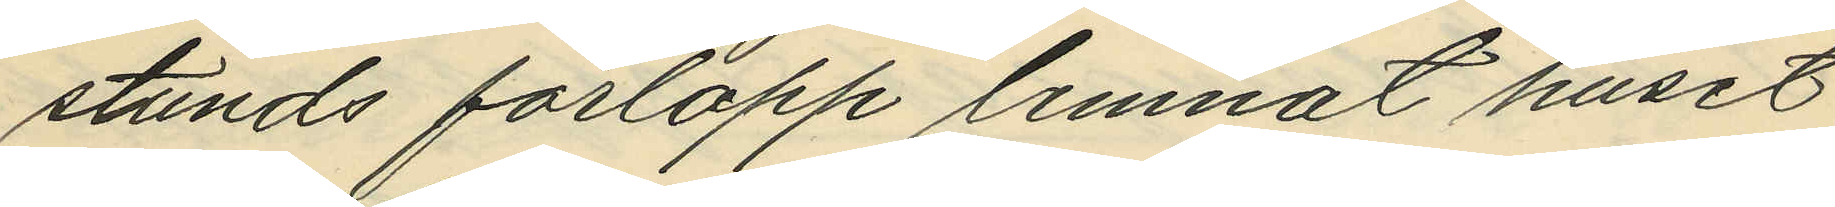stunds förlopp lemnat huset
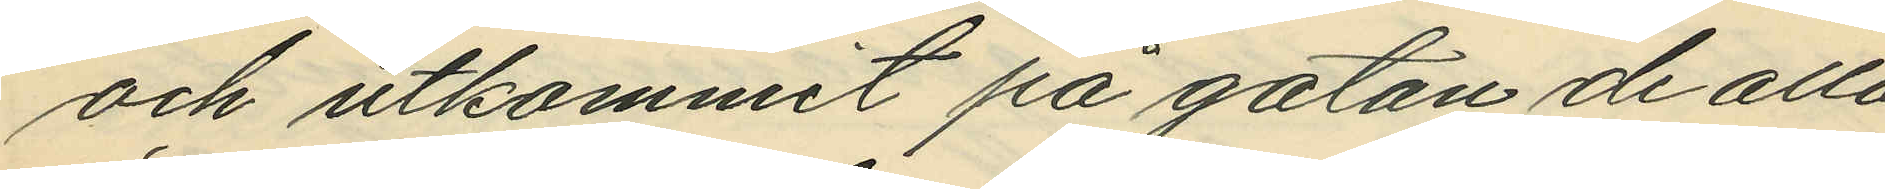och utkommit på gatan de alla
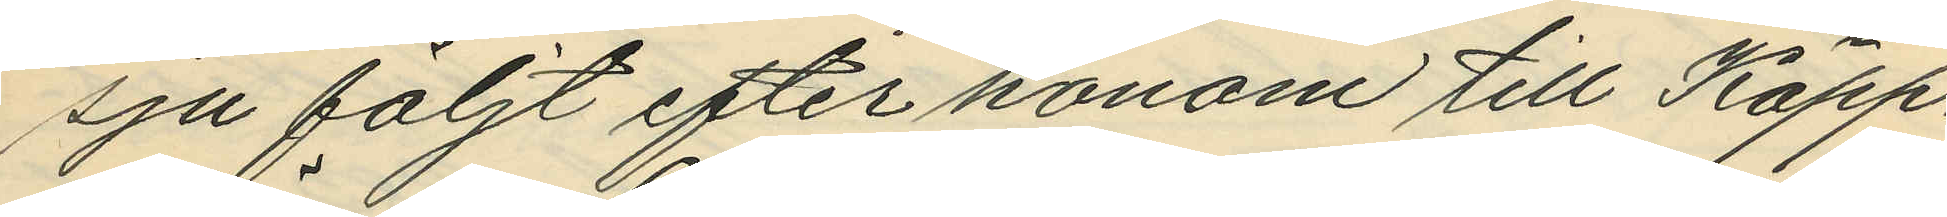sju följt efter honom till Käpp¬
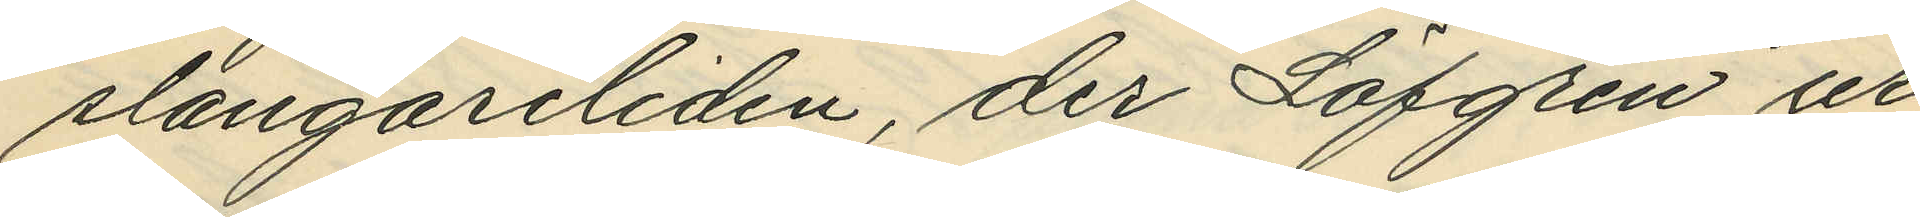slängareliden, der Löfgren ur
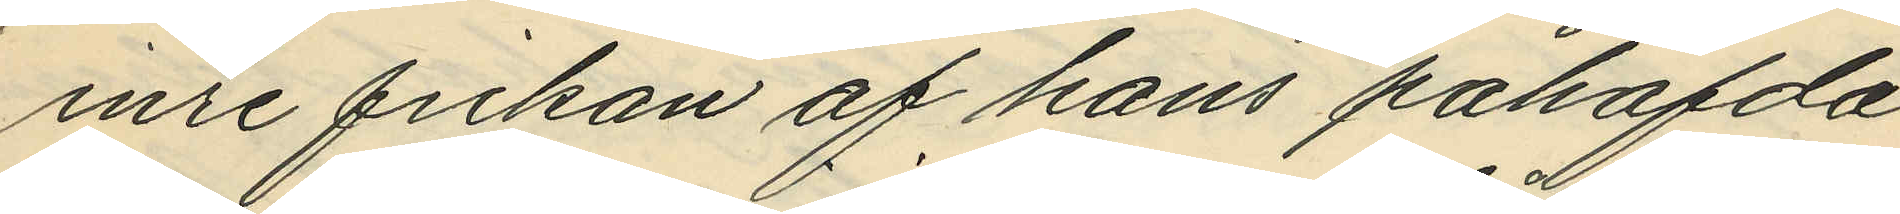inre fickan af hans påhafda
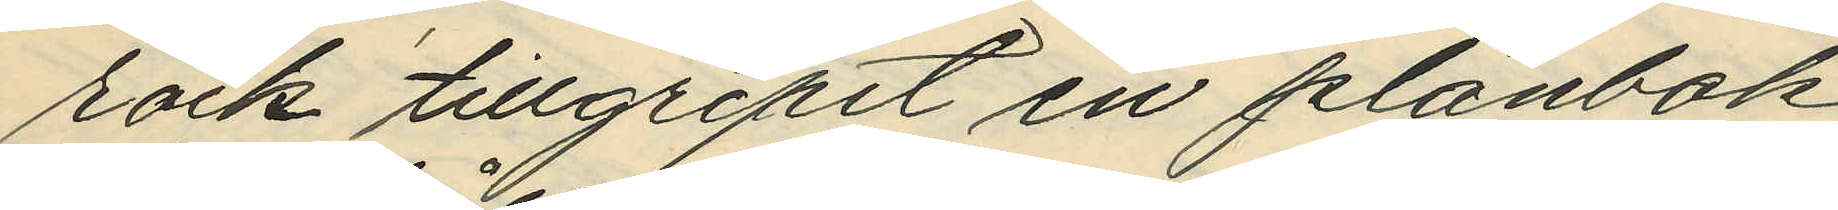rock tillgripit en plånbok
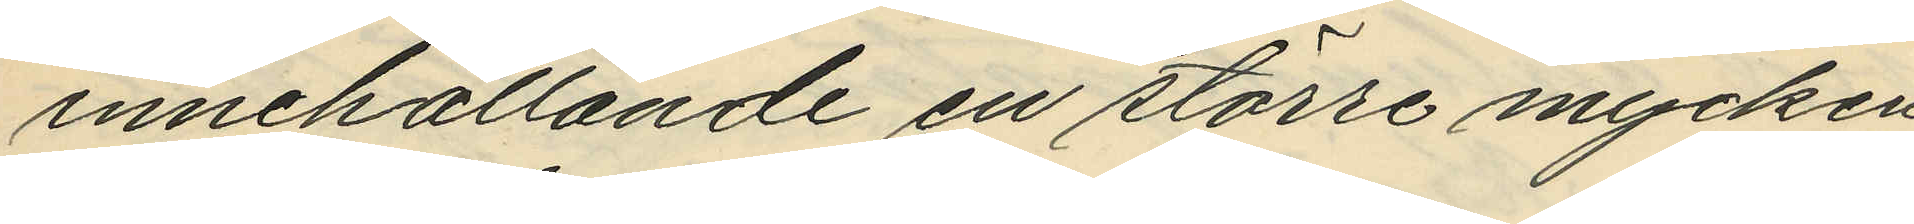innehållande en större mycken¬
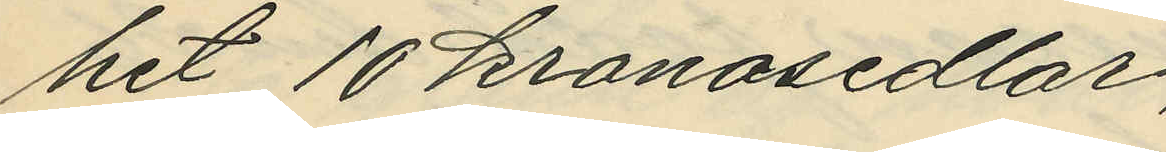het 10 kronosedlar;
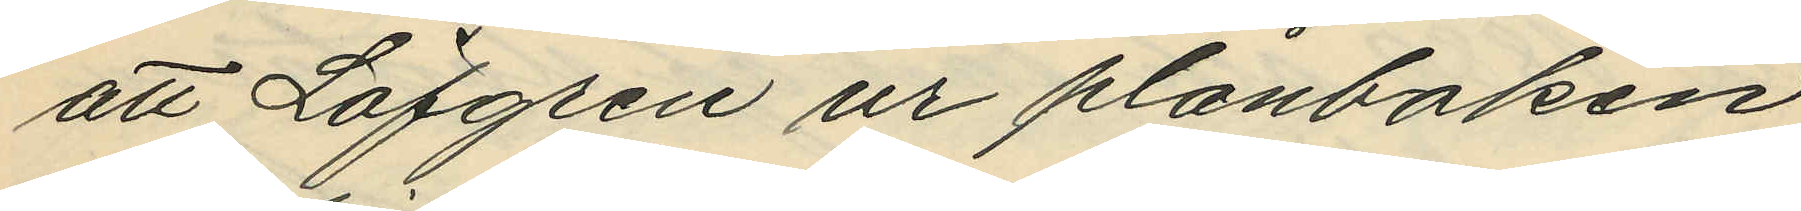att Löfgren ur plånboken
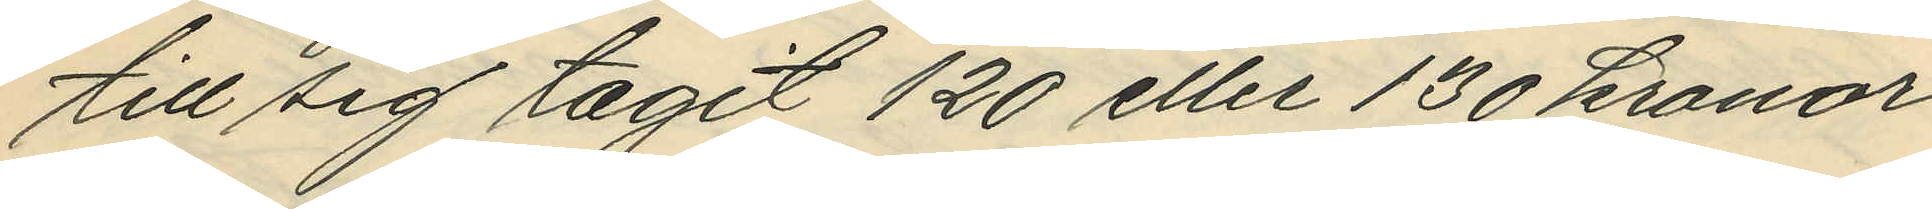till sig tagit 120 eller 130 kronor
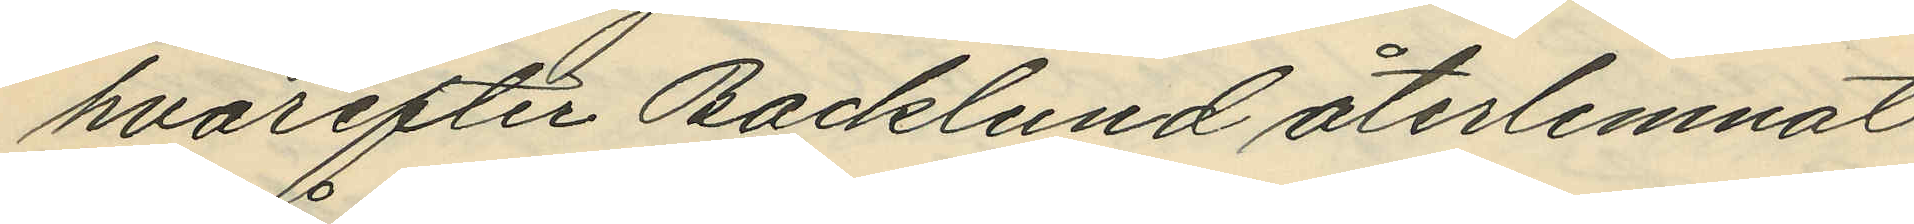hvarefter Backlund återlemnat
